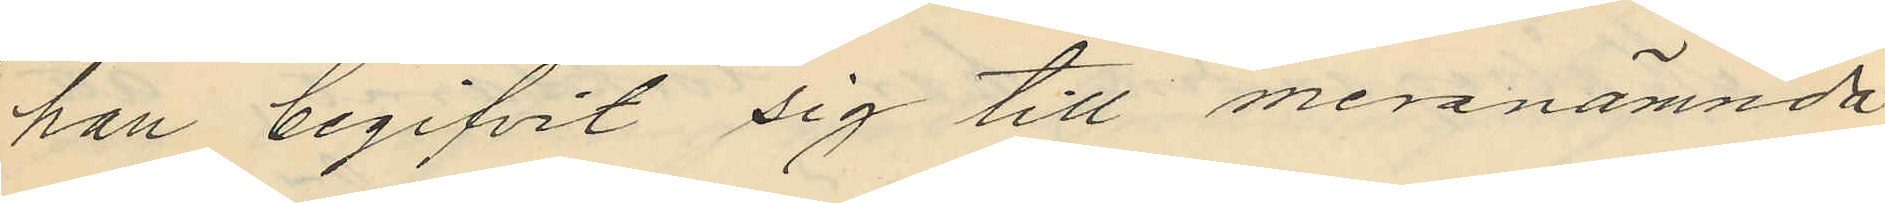han begifvit sig till meranämnda
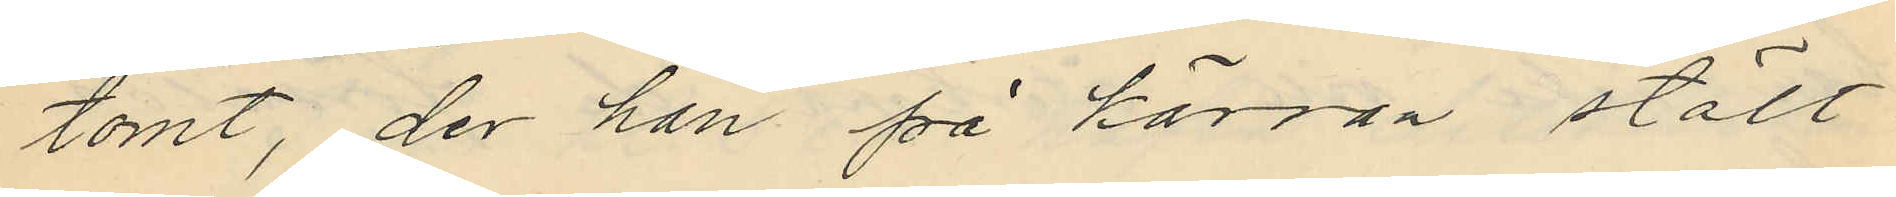tomt, der han på käran stält
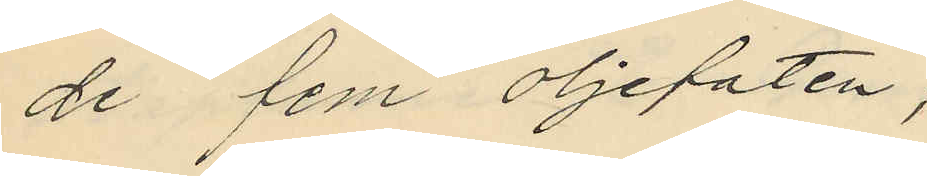de fem oljefaten;
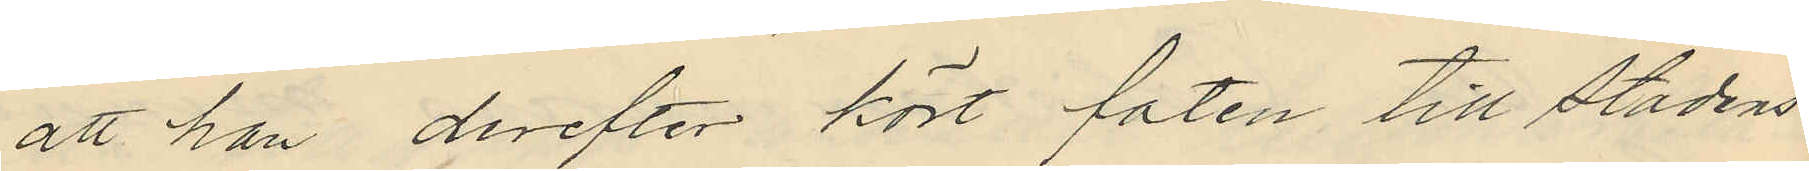att han derefter kört faten till stadens
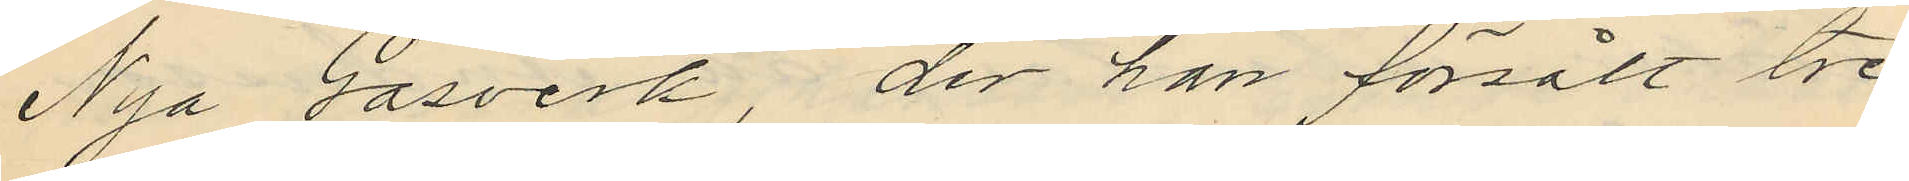Nya Gasverk, der han försålt tre
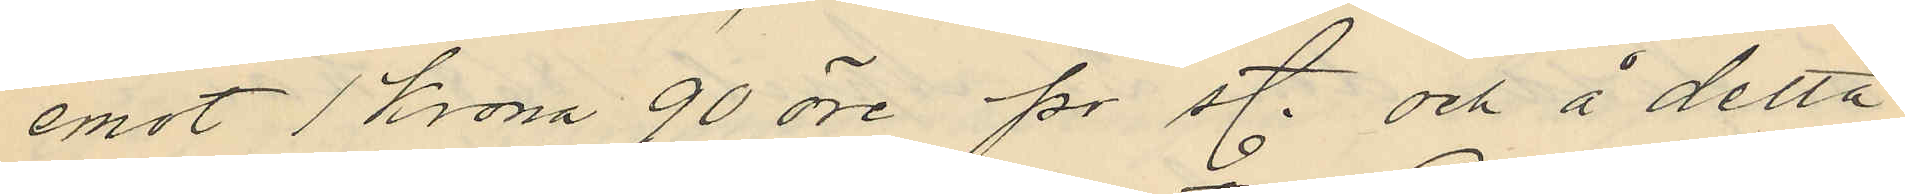emot 1 krona 90 öre pr st. och å detta
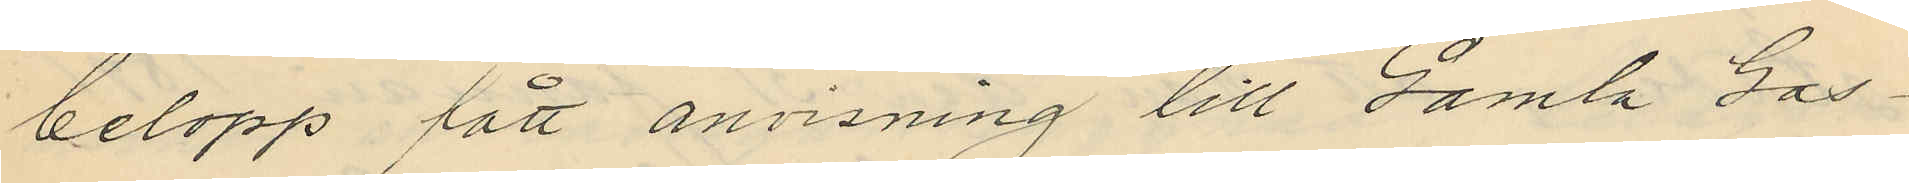belopp fått anvisning till Gamla Gas¬
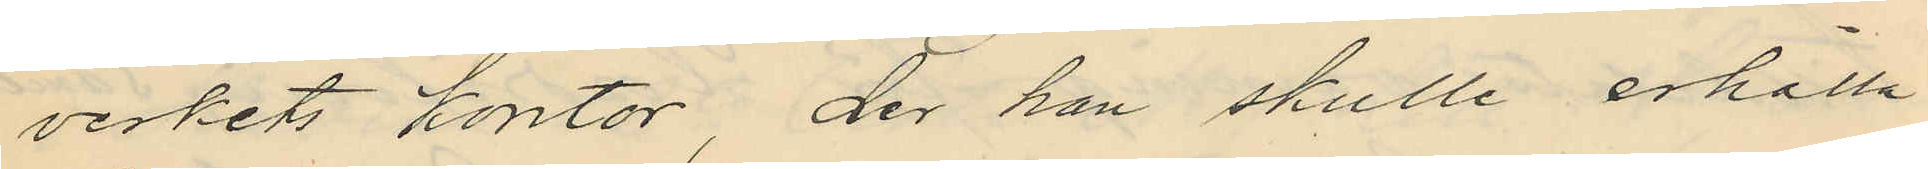verkets kontor, der han skulle erhålla
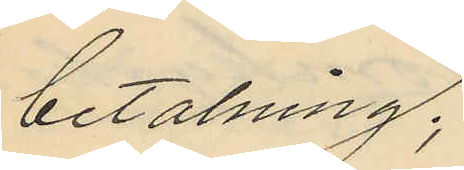betalning;
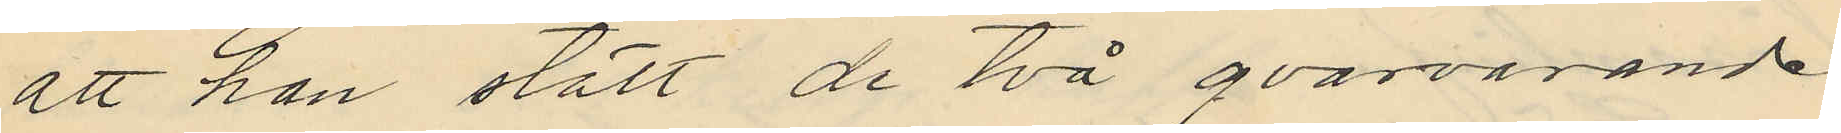att han stält de två qvarvarande
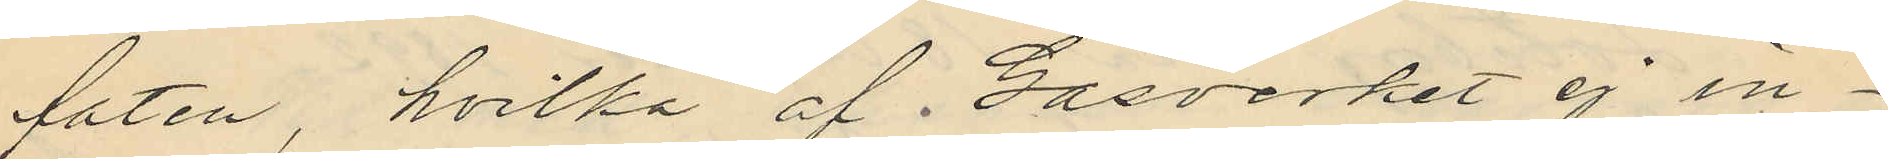faten, hvilka af Gasverket ej in¬
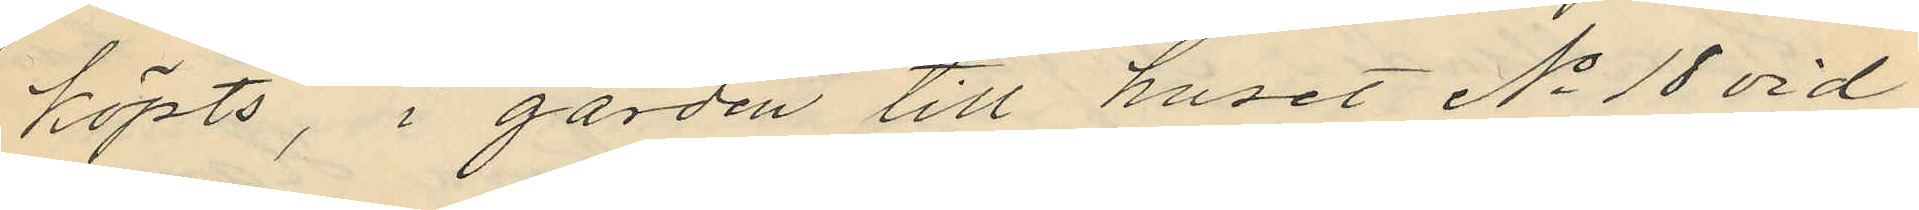köpts, i gården till huset No 18 vid
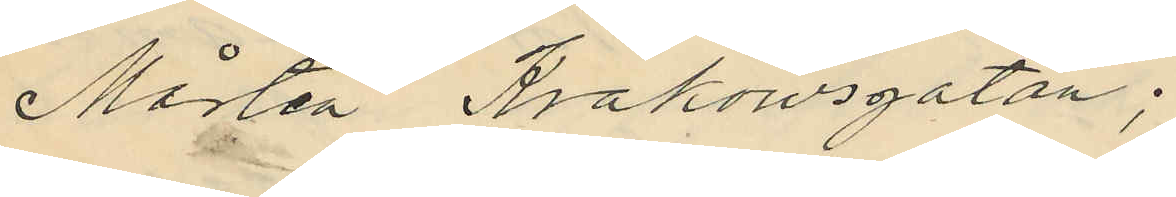Mårten Krakowsgatan;
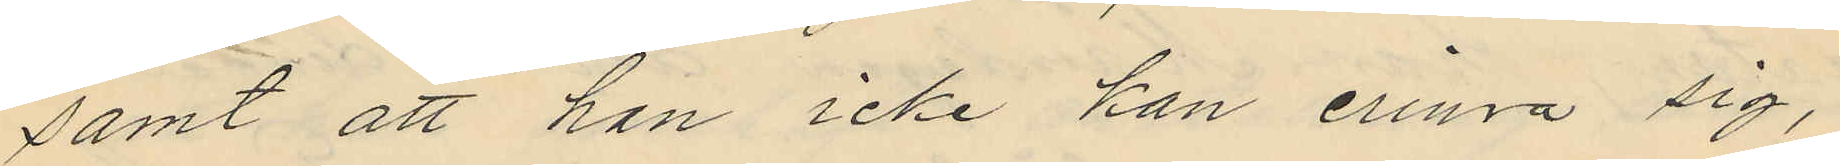samt att han icke kan erinra sig,
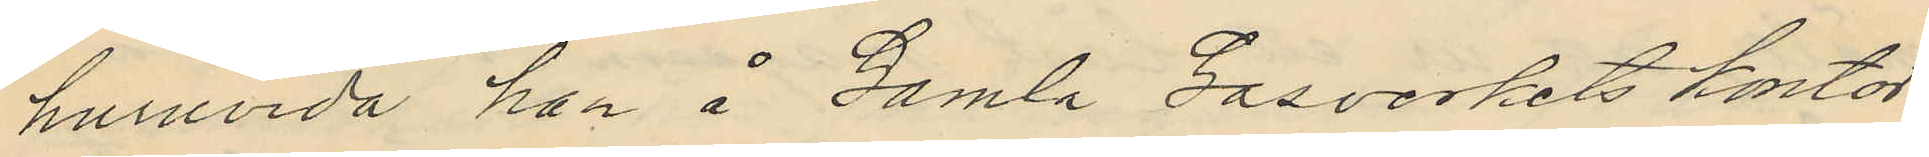huruvida han å Gamla Gasverkets kontor
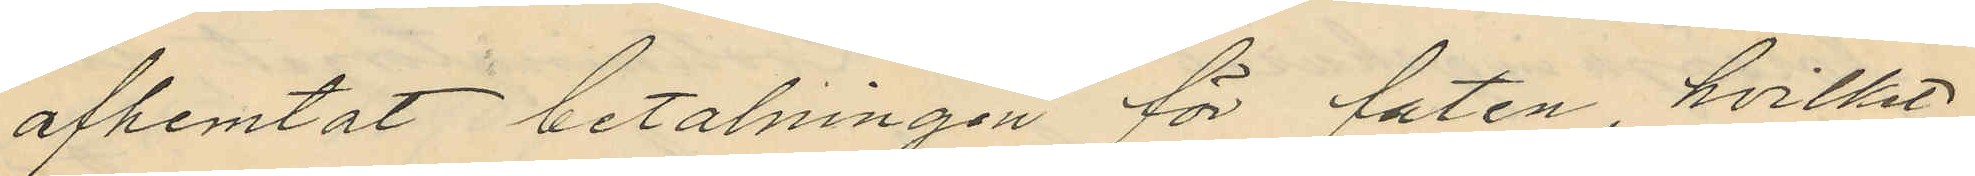afhemtat betalningen för faten, hvilket
